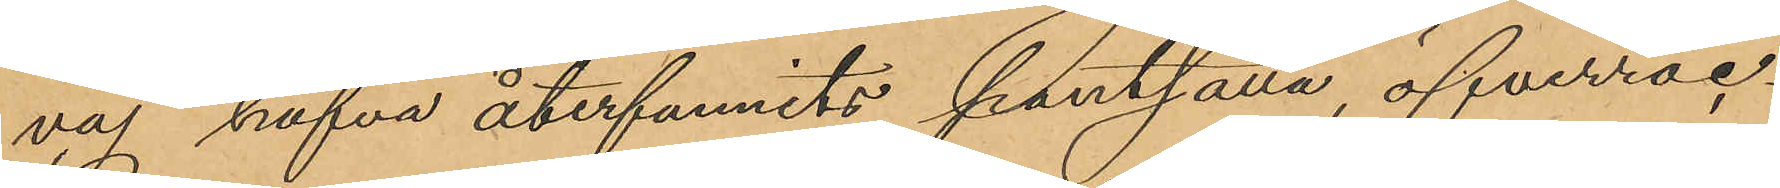vaj hafva återfunnits pantsatta, öfverroc¬
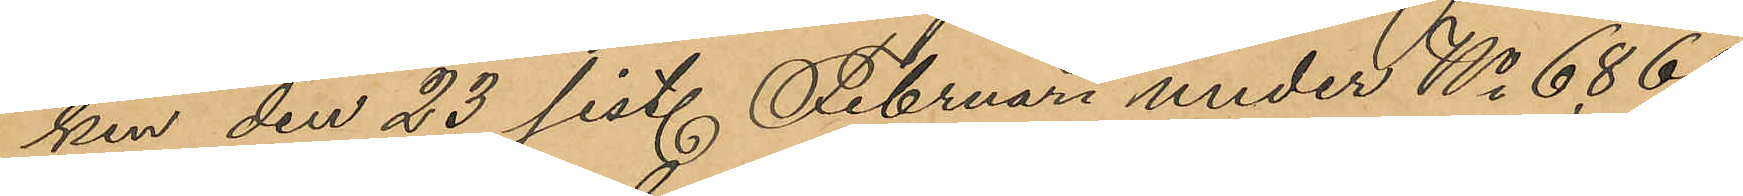ken den 23 sist. Februari under No 6869
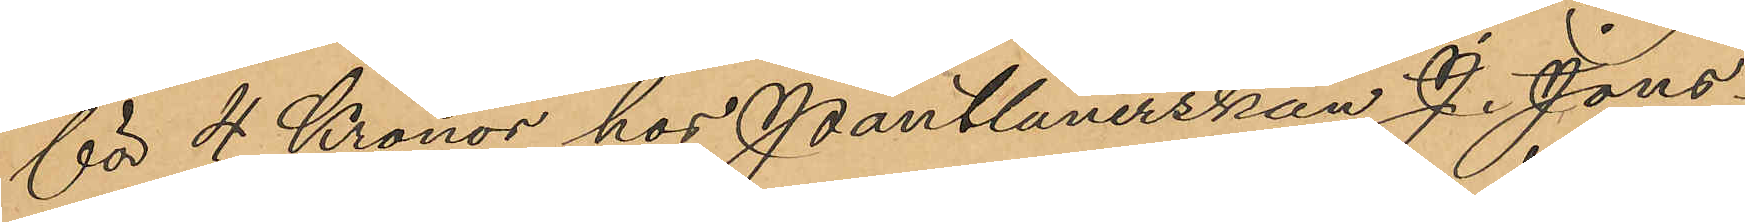för 4 Kronor hos Pantlånerskan J. Jons¬
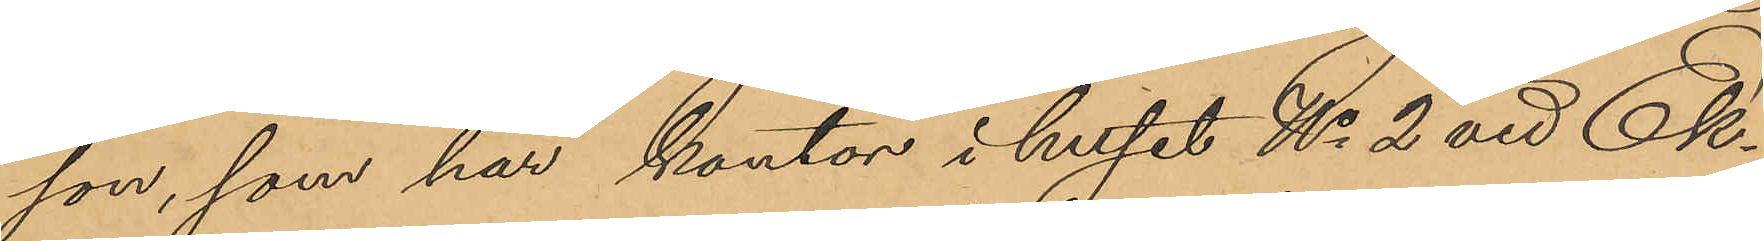son, som har kontor i huset No 2 vid Ek¬
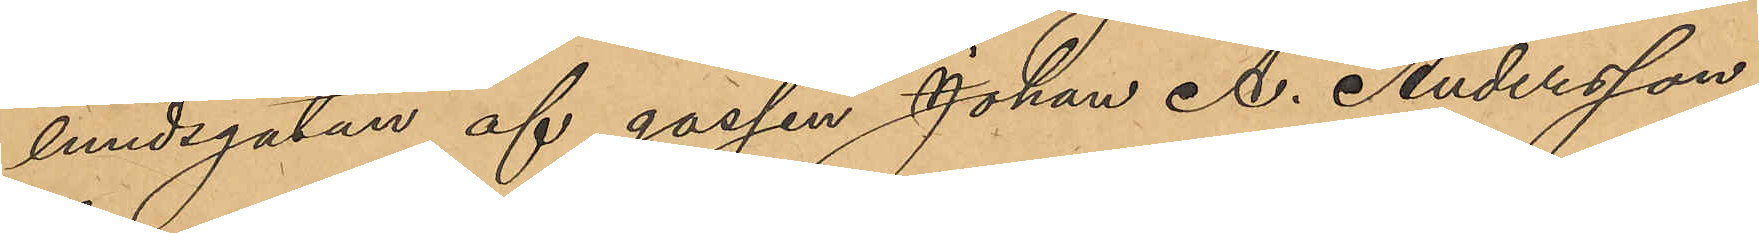lundsgatan af gossen Johan A. Andersson,
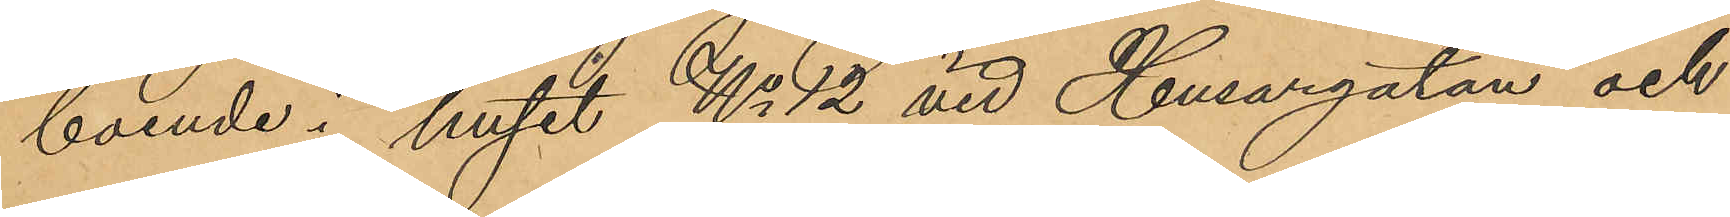boende i huset No 12 vid Husargatan och
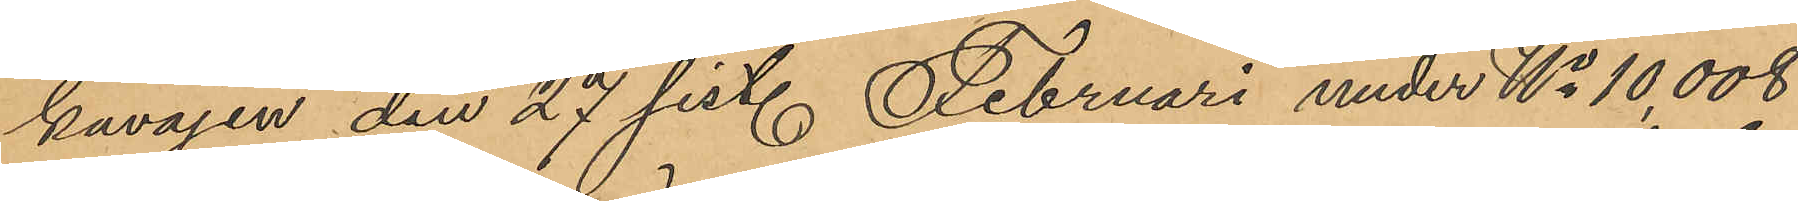kavajen den 27 sist. Februari under No 10 008
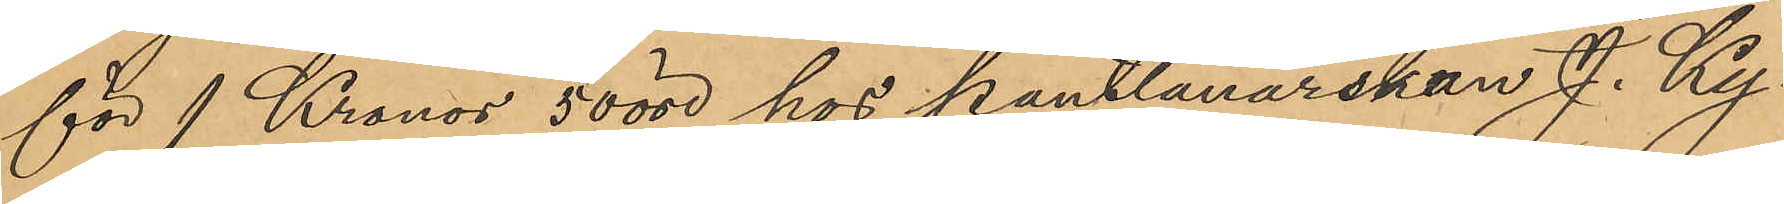för 1 Kronor 50 öre hos Pantlånerskan J. Ky¬
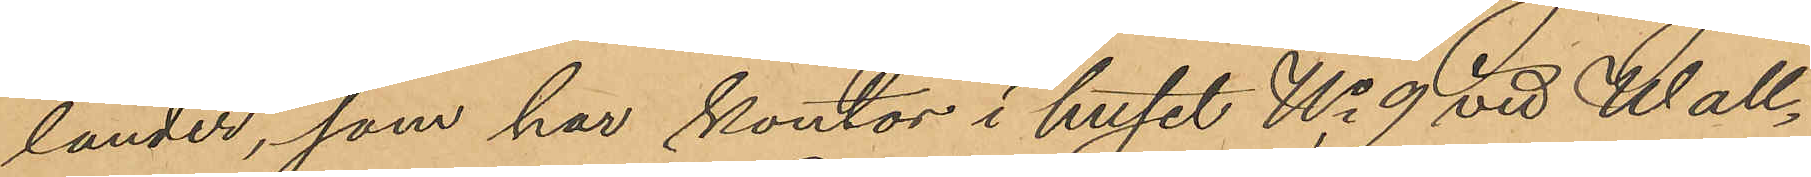lander, som har kontor i huset No 9 vid Wall¬
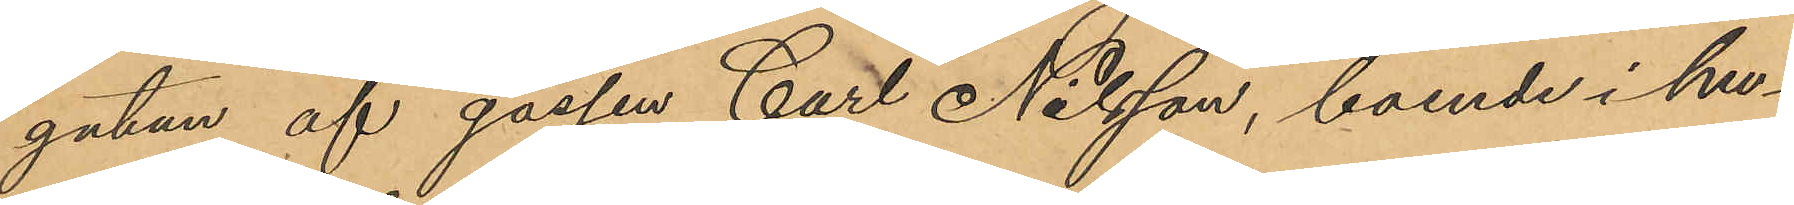gatan af gossen Carl Nilsson, boende i hu¬
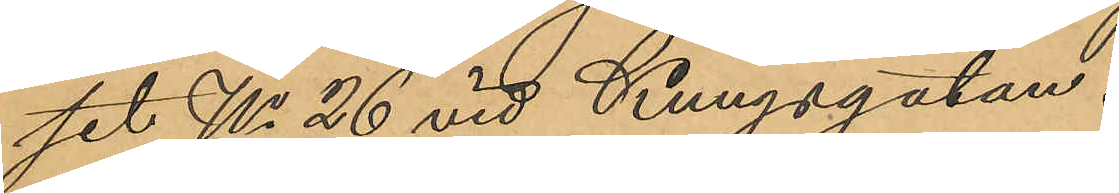set No 26 vid Kungsgatan.
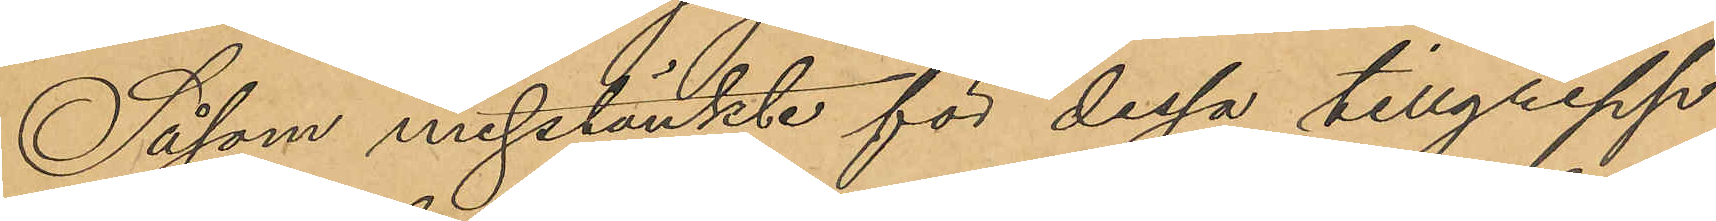Såsom misstänkte för dessa tillgrepp
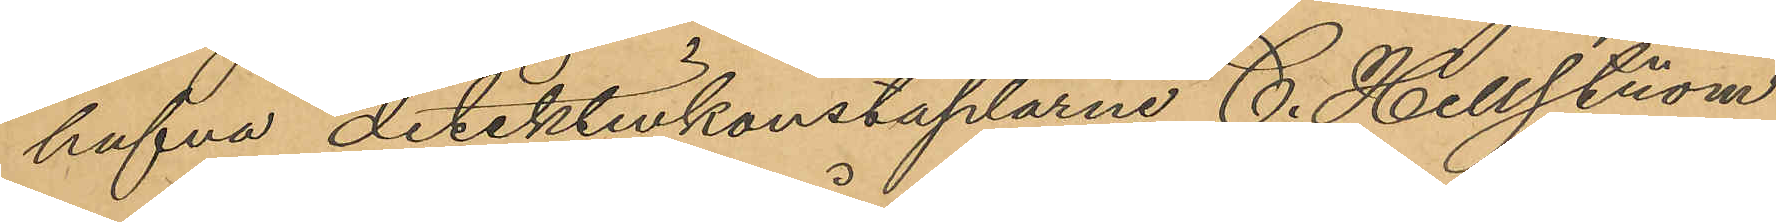hafva detektivkonstaplarne C. Hellström
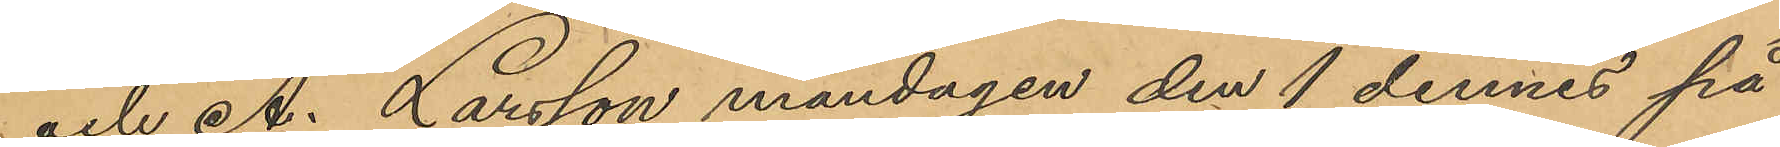och A. Larsson måndagen den 1 dennes på
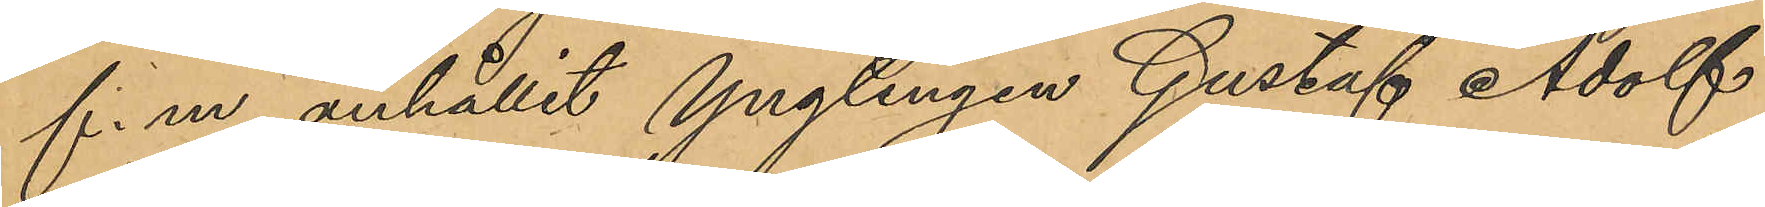f. m. anhållit ynglingen Gustaf Adolf
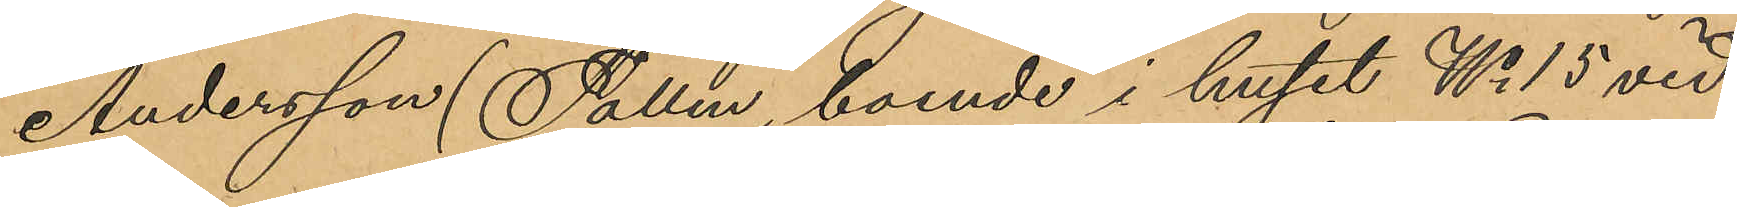Andersson (Tallen, boende i huset No 15 vid
